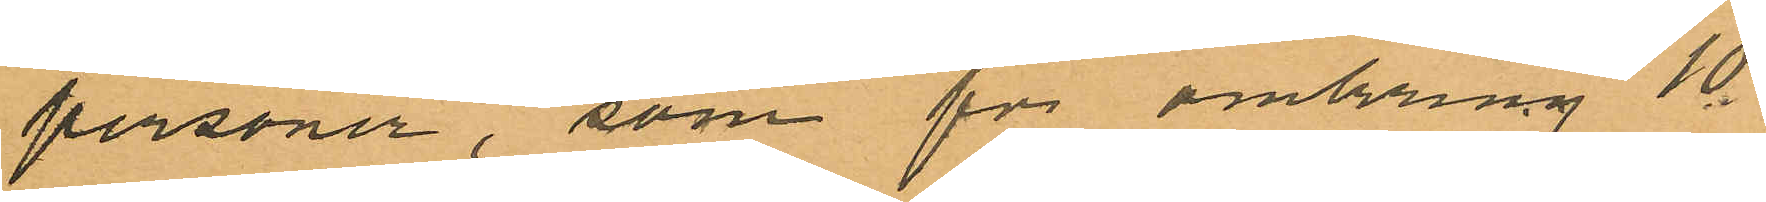personer, som för omkring 10
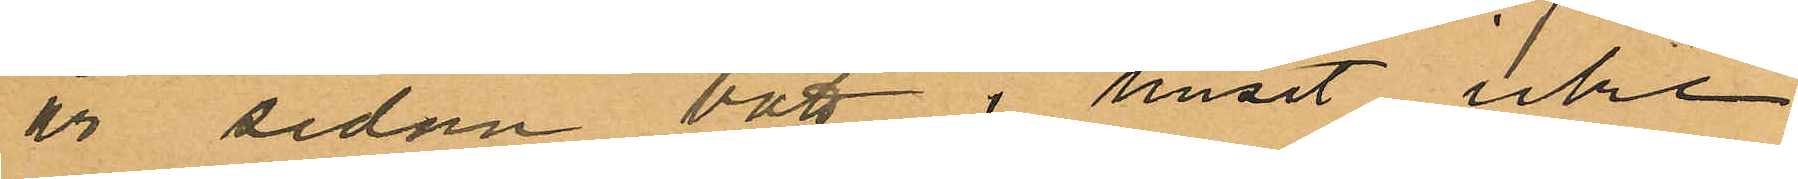år sedan bott i huset icke
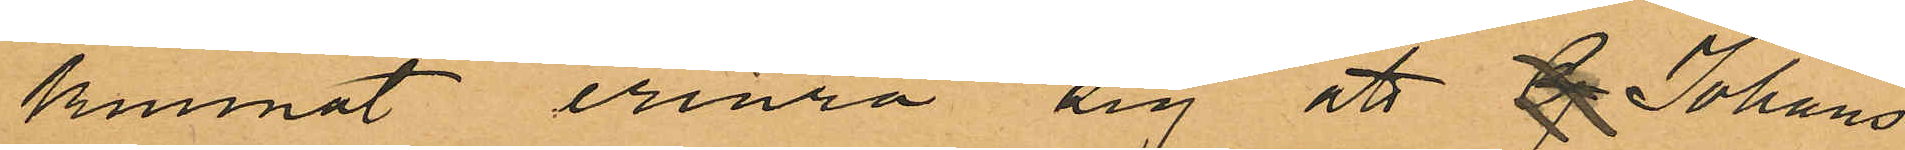kunnat erinra sig att G Johans¬
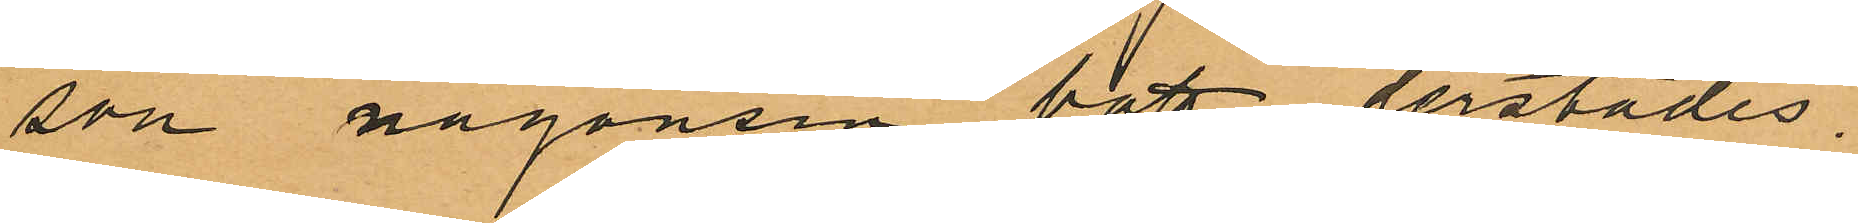son någonsin bott derstädes,
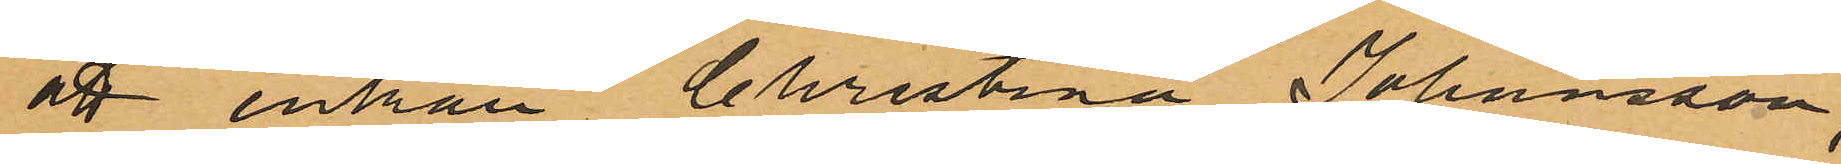att enkan Christina Johansson,
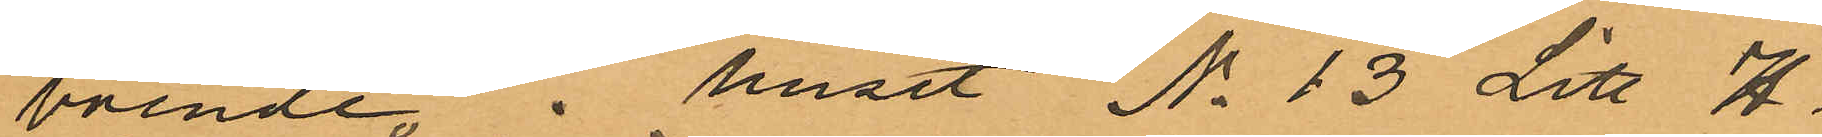boende i huset No 13 Litt H.
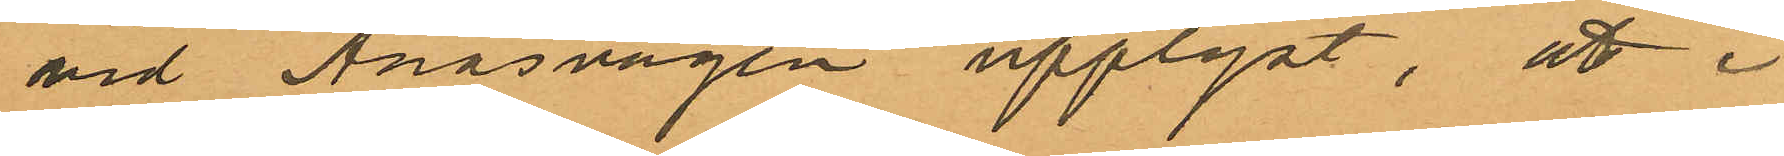vid Ånäsvägen upplyst, att i
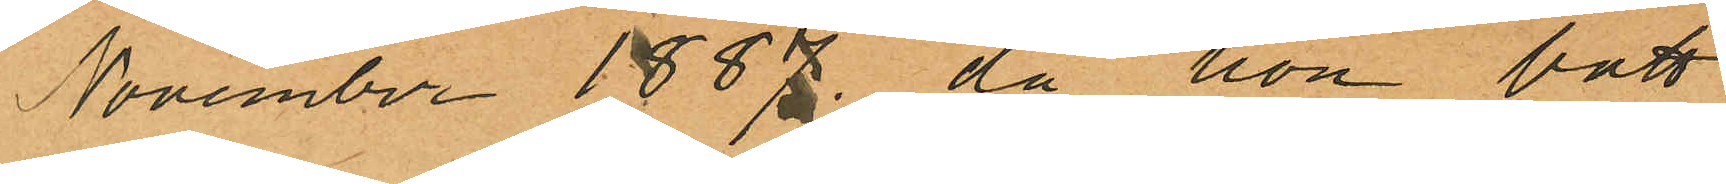November 1887, då hon bott
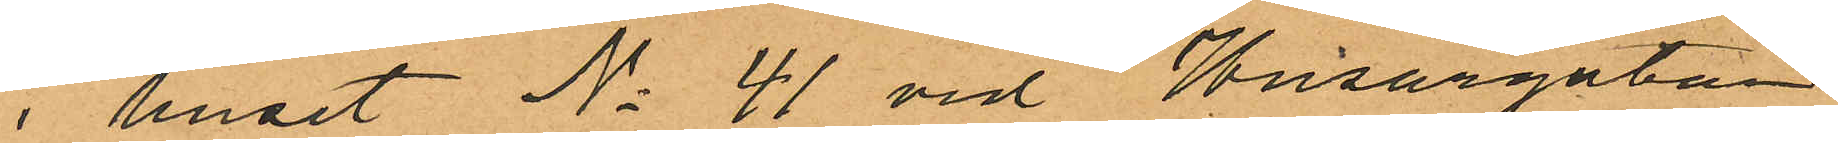i huset No 41 vid Husargatan
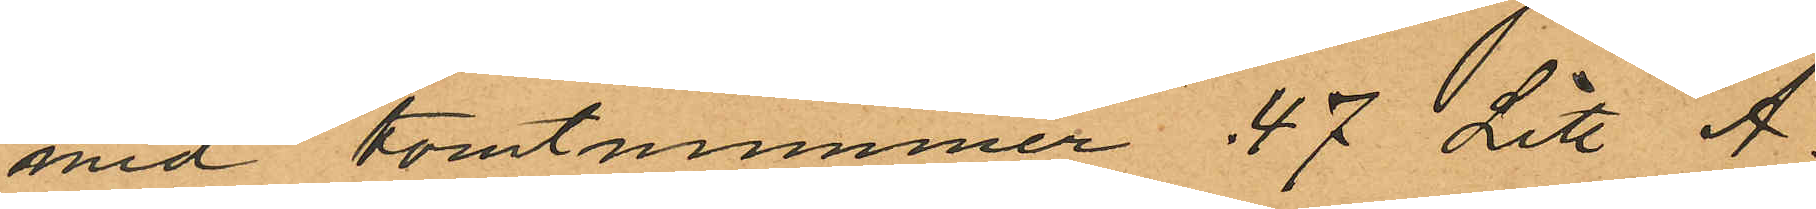med tomtummmer 47 Litt A.
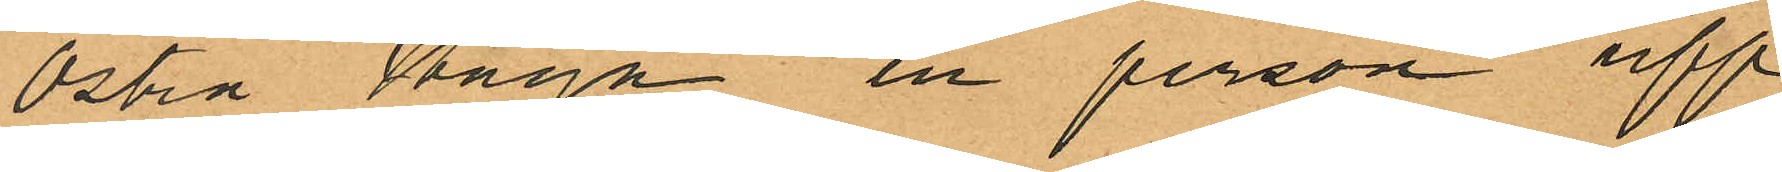Östra Haga en person upp¬
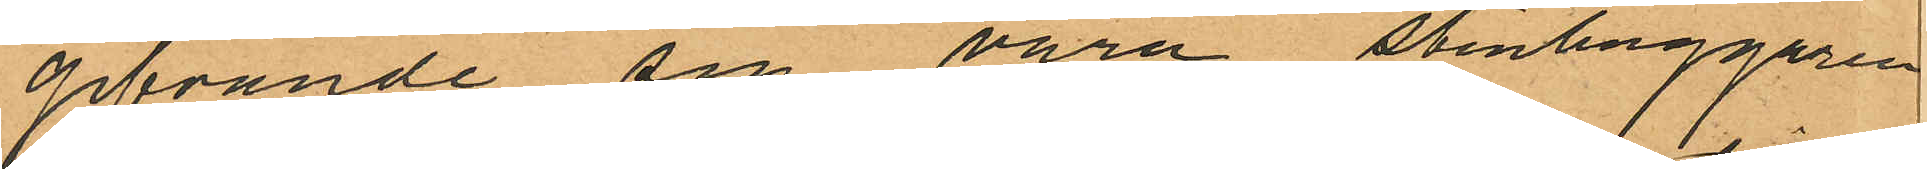gifvande sig vara stenhuggaren
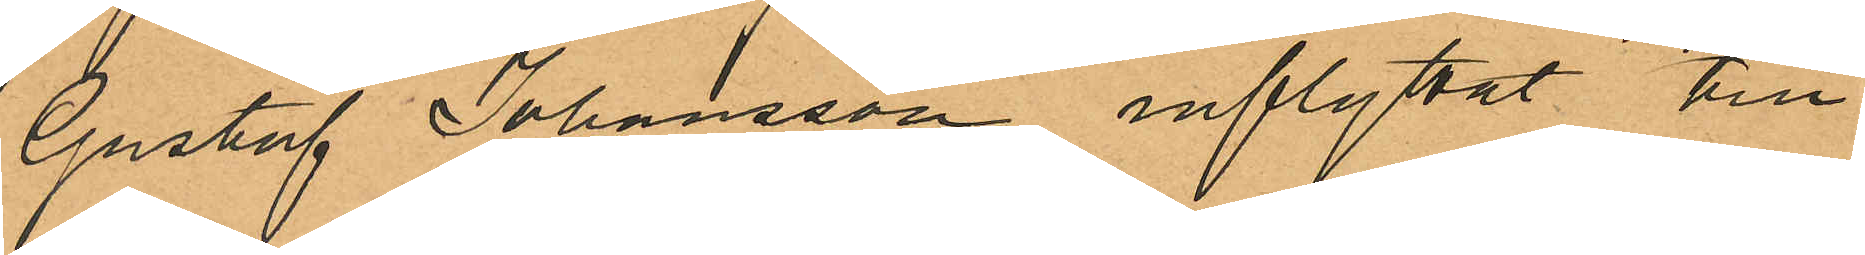Gustaf Johansson inflyttat till
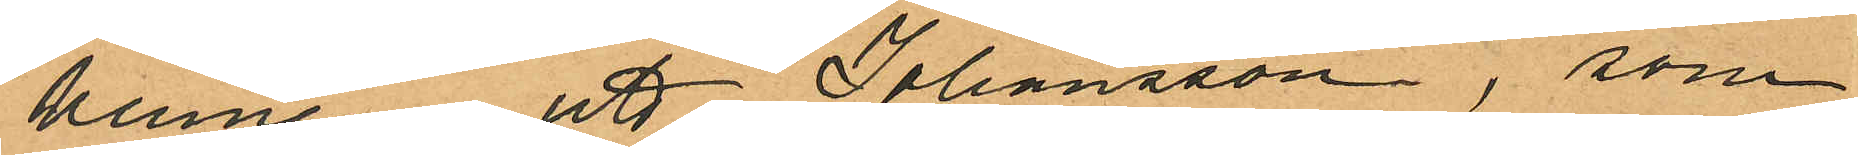henne att Johansson, som
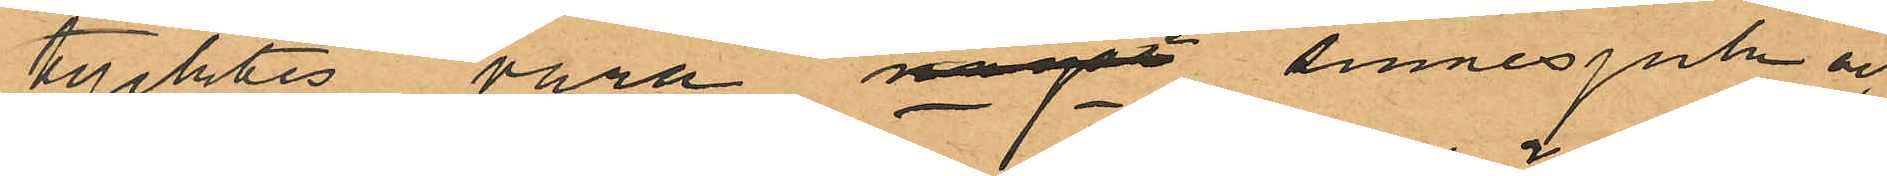tycktes vara något sinnesjuk och
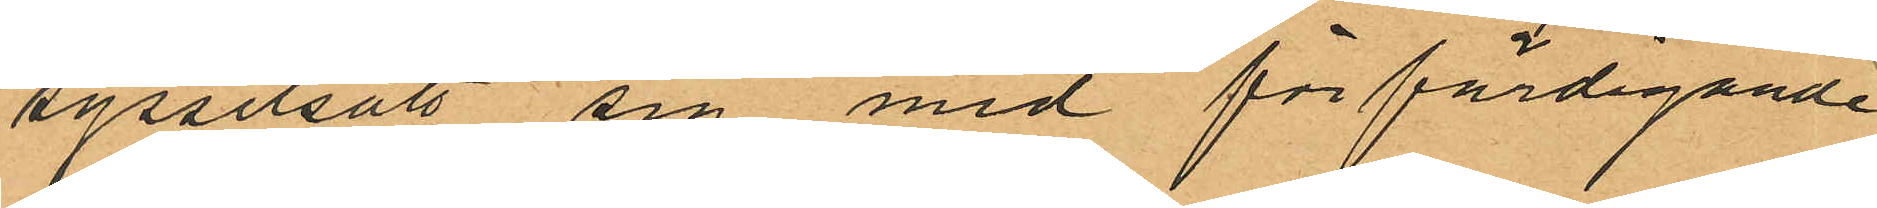sysselsatt sig med förfärdigande
